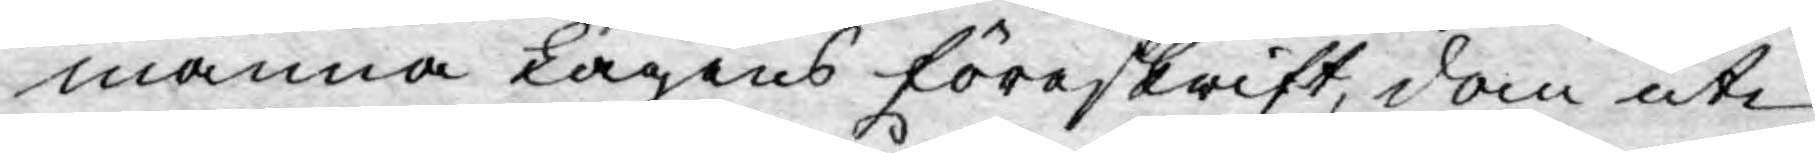männa Lagens föreskrift, dom uti
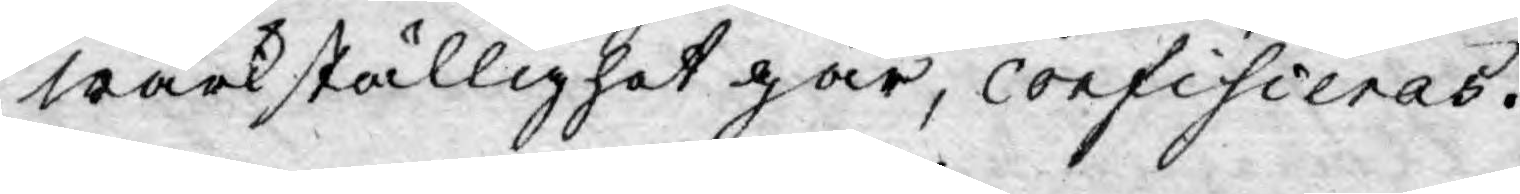wärkställighet går, confisieras.
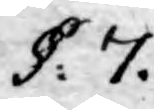§. 7.
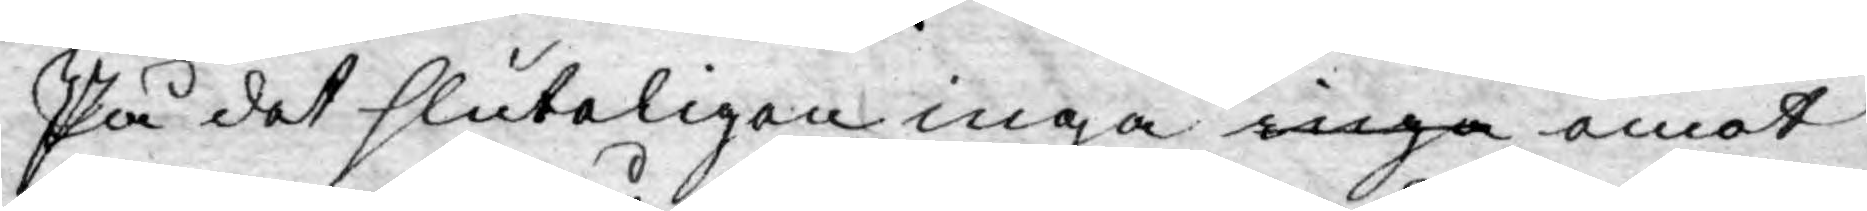På det sluteligen inga inga emot
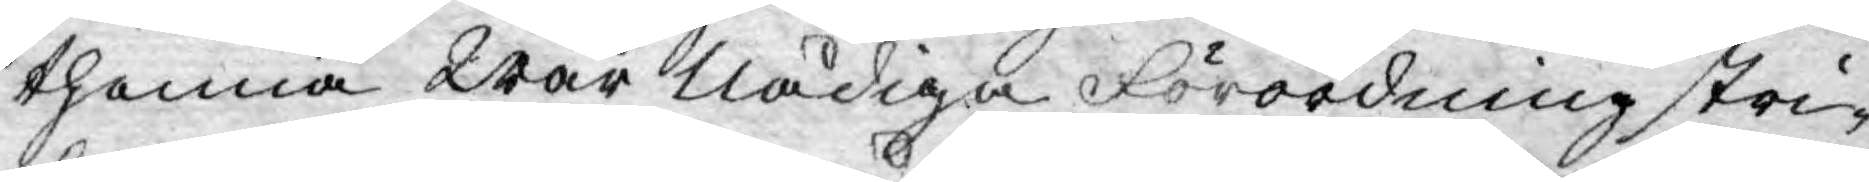thenna Wår Nådiga Förordning stri¬
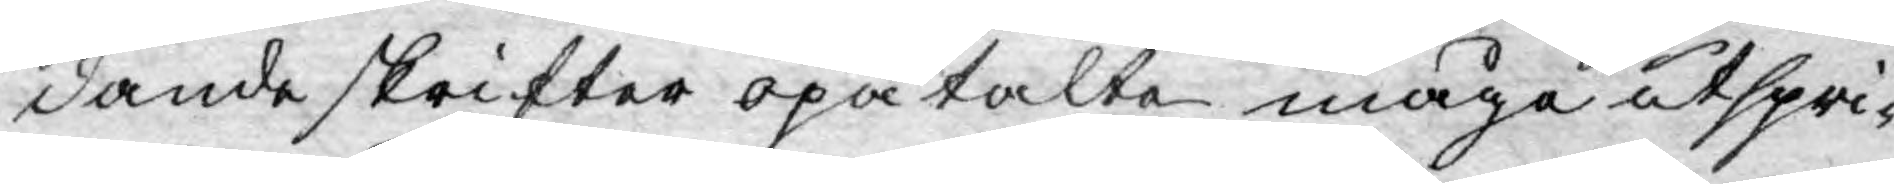dande skrifter opåtalte måga utspri-
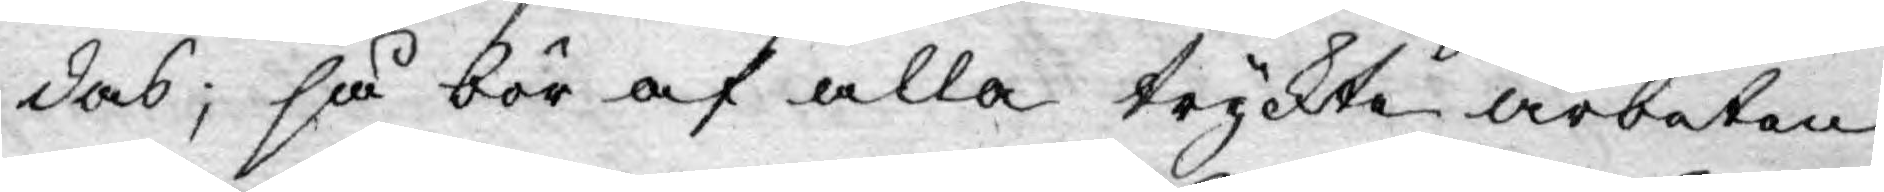das; så bör af alla tryckte arbeten
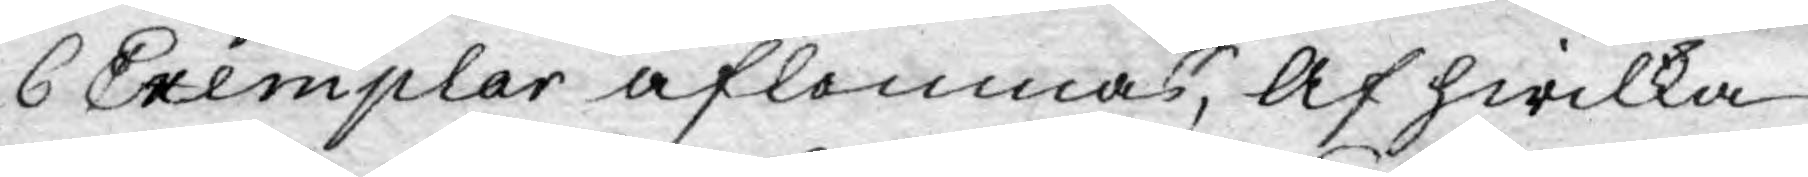6 Exemplar aflemnas, Af hwilka
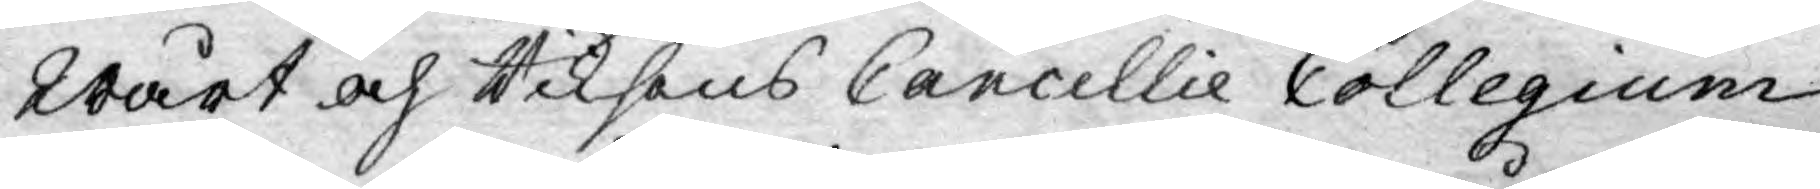Wårt och Riksens Cancellie Collegium
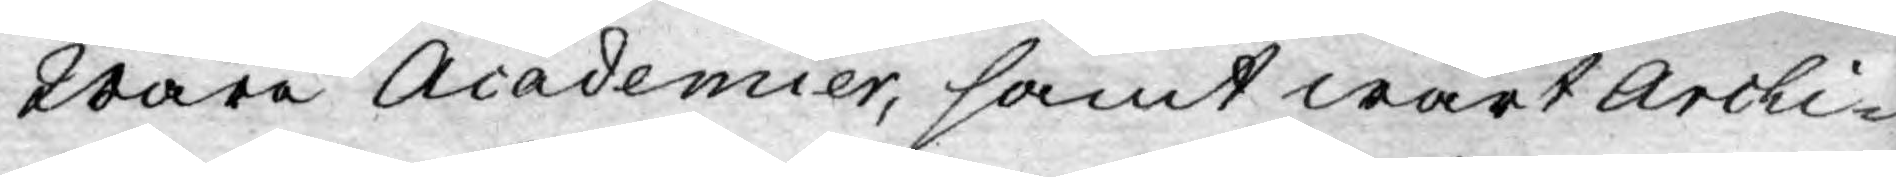Wåra Academier, samt wårt Archi¬
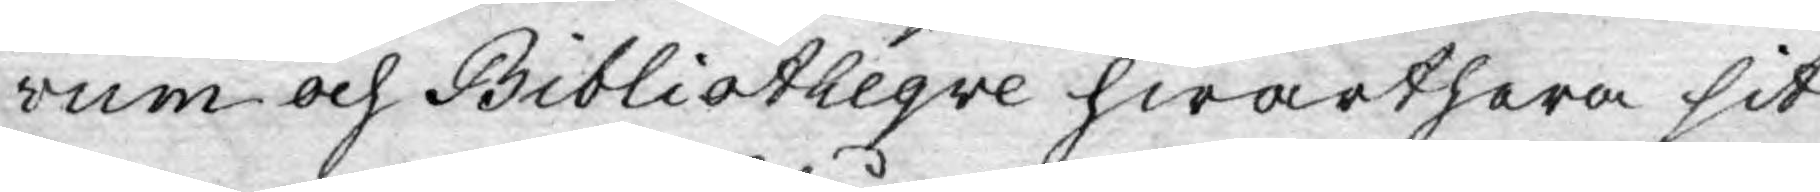vum och Bibliotheqve hwarthera sit
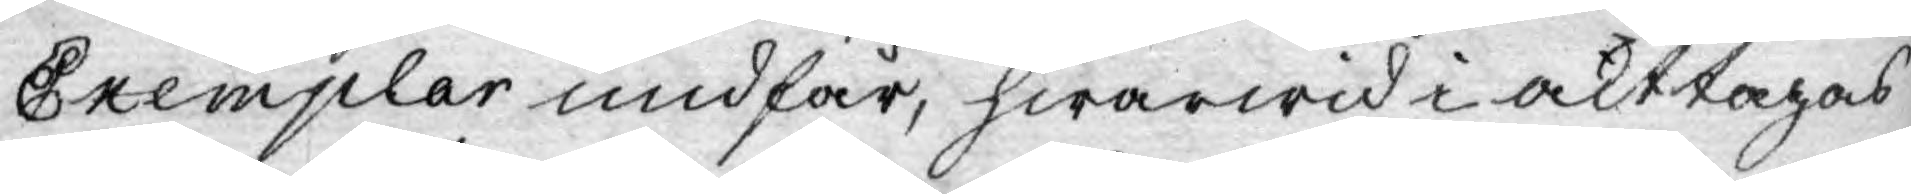Exemplar undfår, hwarwid i akttagas
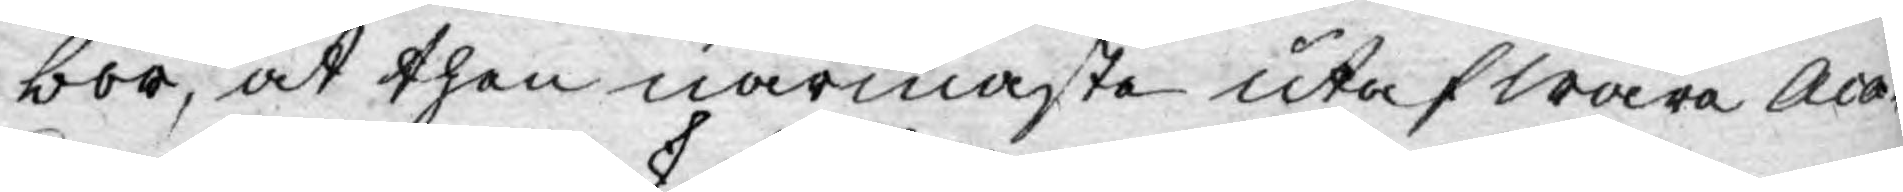bör, at then närmaste utaf wåra Aca¬
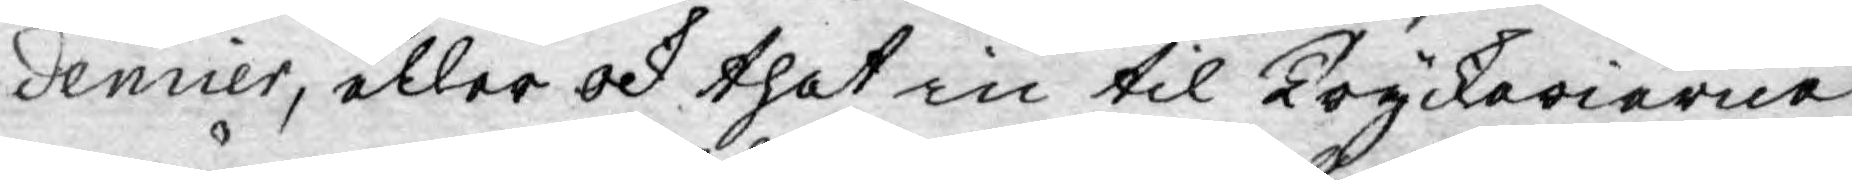demier, eller ock thet in til Tryckerierne
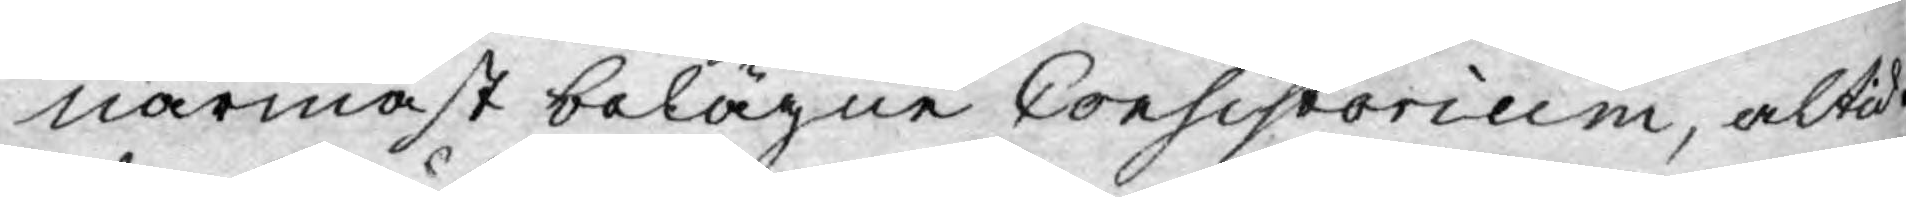närmast belägne Consistorium, altid
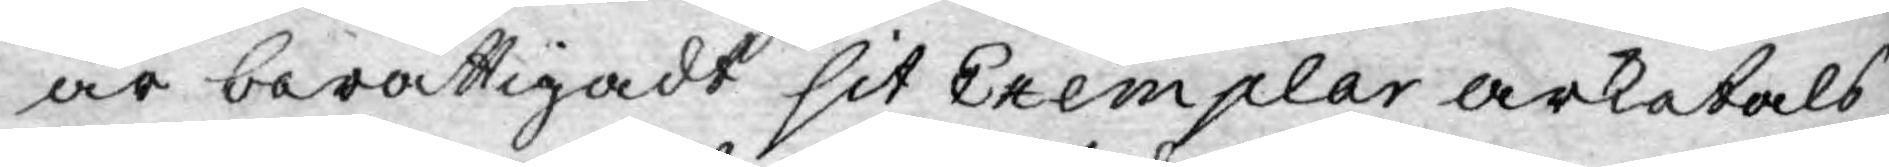är berättigadt sit Exemplar arketals
